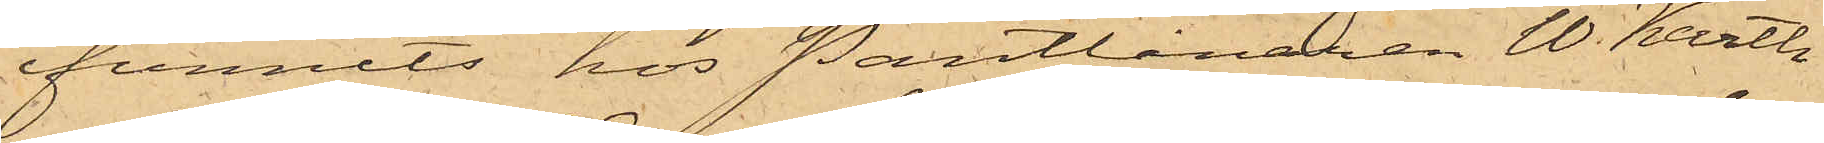funnits hos Pantlånaren W. Karth
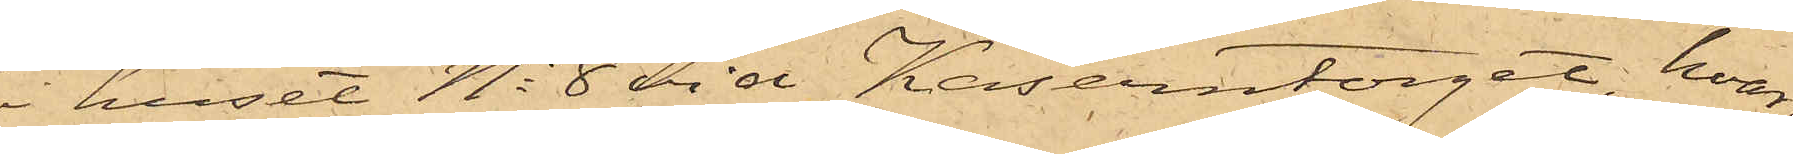i huset No 8 vid Kaserntorget, hvar¬
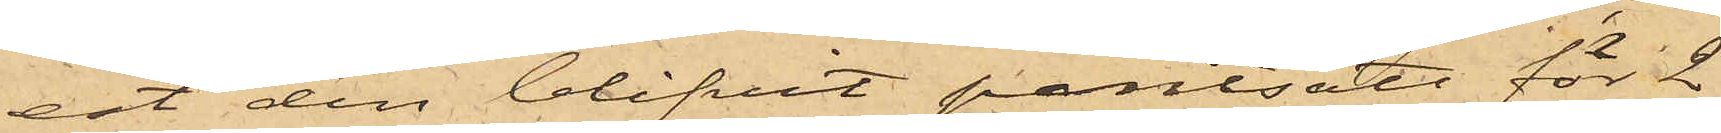est den blifvit pantsatt för 2
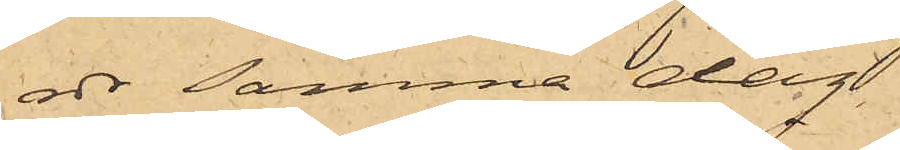rdr samma dag
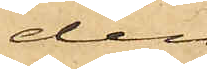den
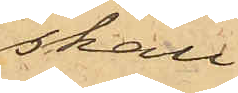skall
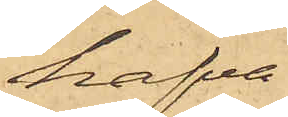hafva
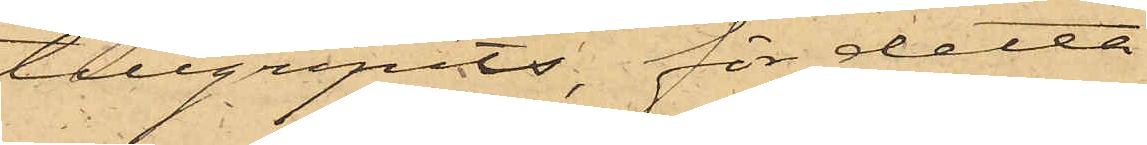tillgripits, för detta
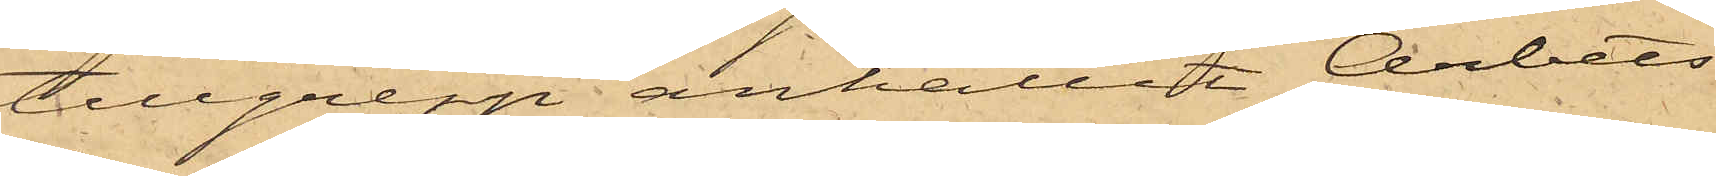tillgrepp anhållit Arbets¬
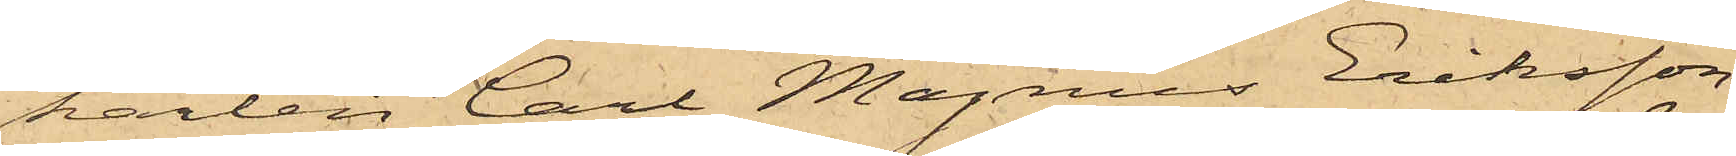karlen Carl Magnus Eriksson
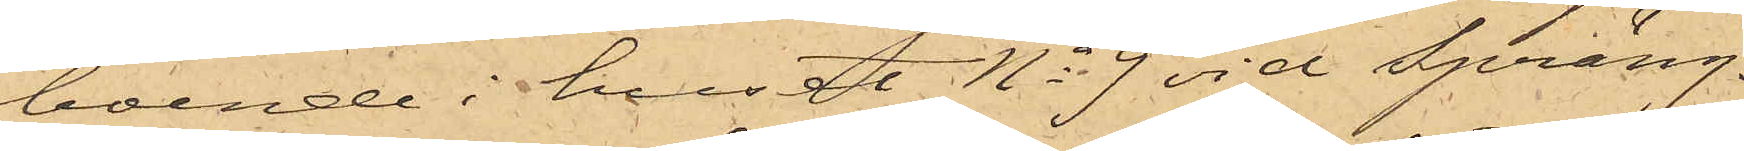boende i huset No 9 vid Spräng¬
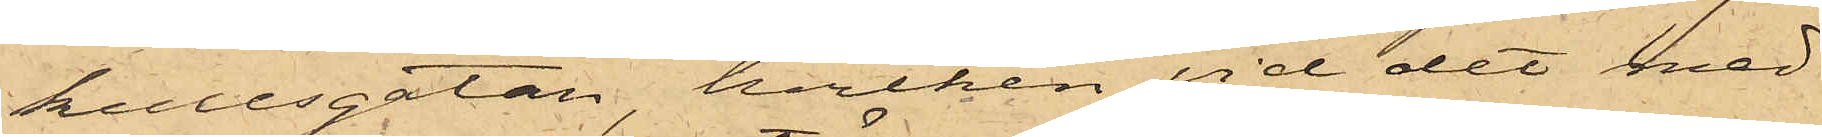kullsgatan, hvilken vid det med
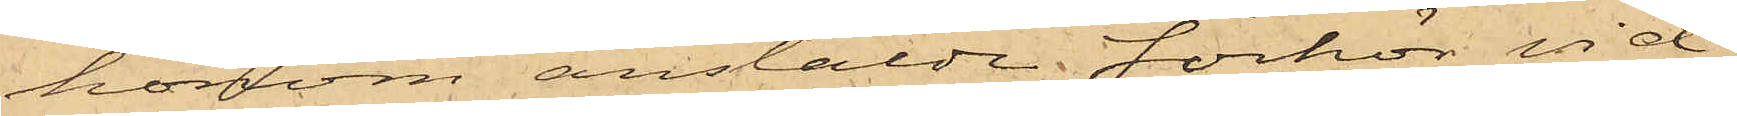honom anstälde förhör vid¬
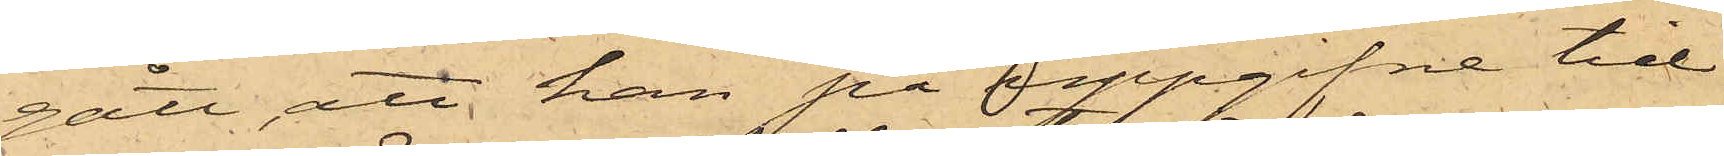gått, att han på uppgifne tid
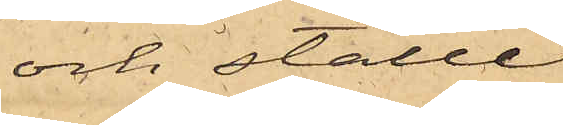och ställe
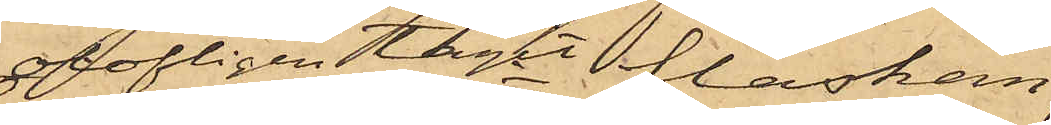olofligen tagit flaskan,
